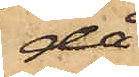då
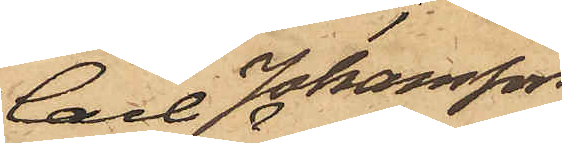Carl Johansson
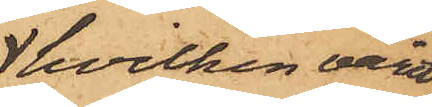hvilken varit
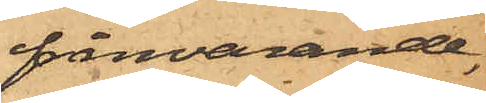frånvarande,
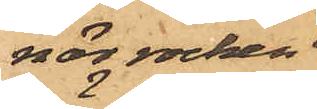när rocken
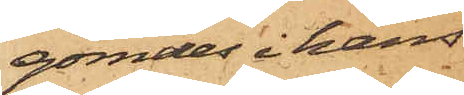gömdes i hans
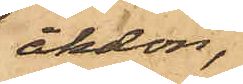åkdon,
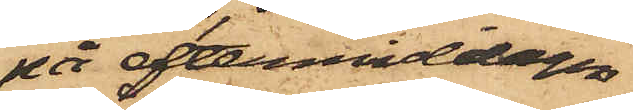på eftermiddagen
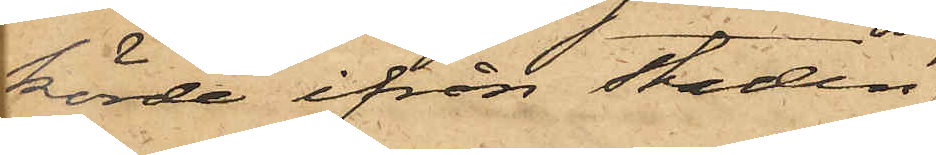körde ifrån staden,
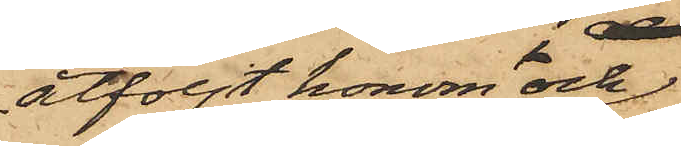åtföljt honom och
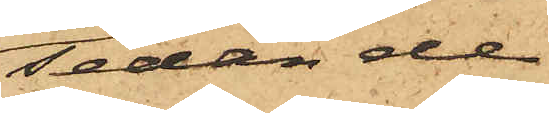sedan de
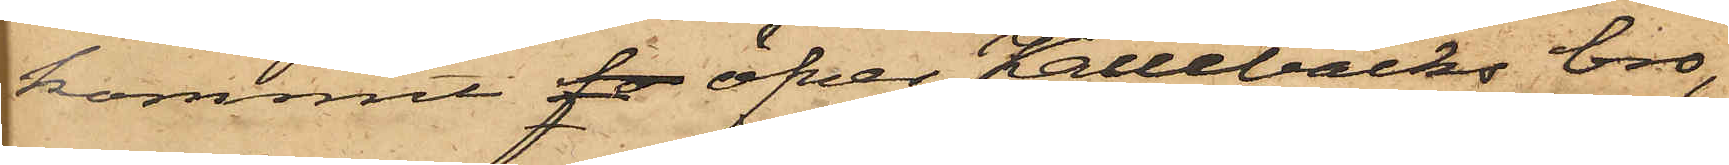kommit fo öfver Kallebäcks bro,
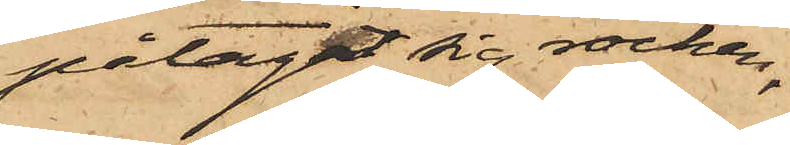påtagit sig rocken,
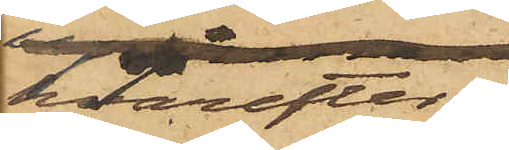hvarefter
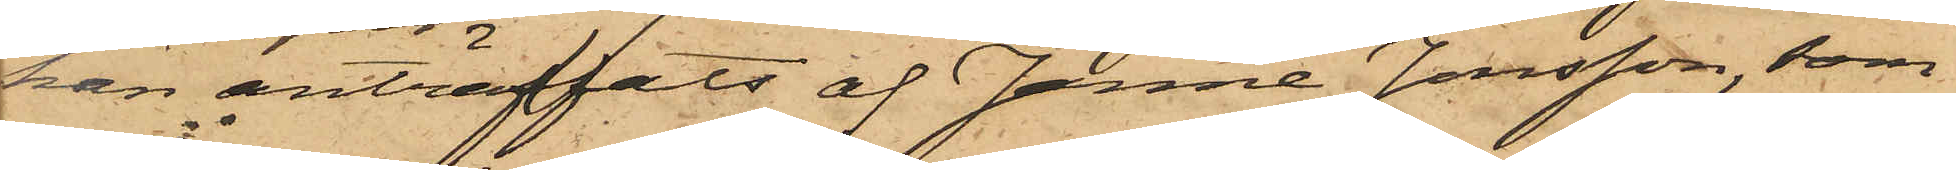han anträffats af Janne Jonsson, som
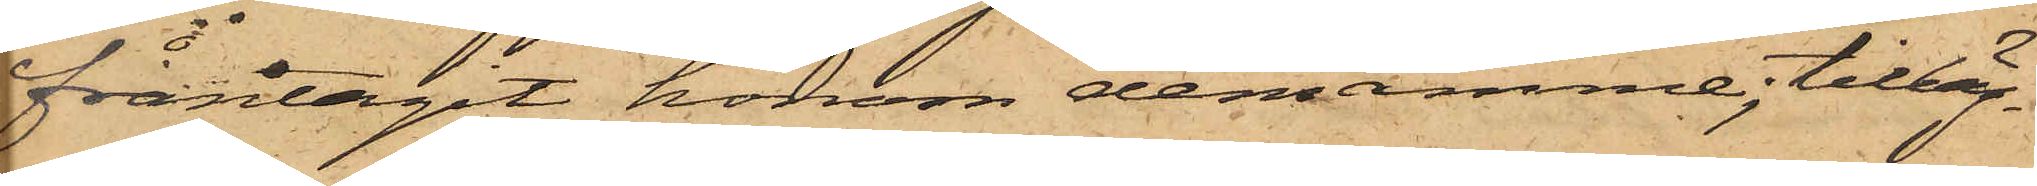fråntagit honom densamme, tilläg¬
